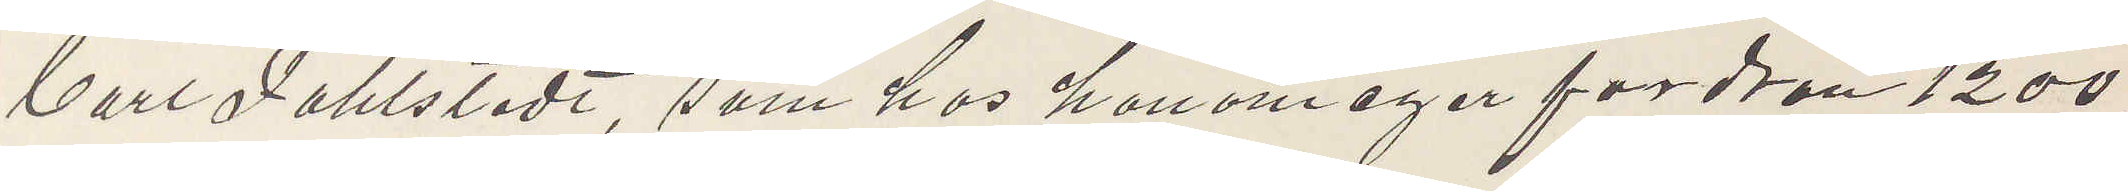Carl Fahlstedt, som hos honom eger fordran 1200
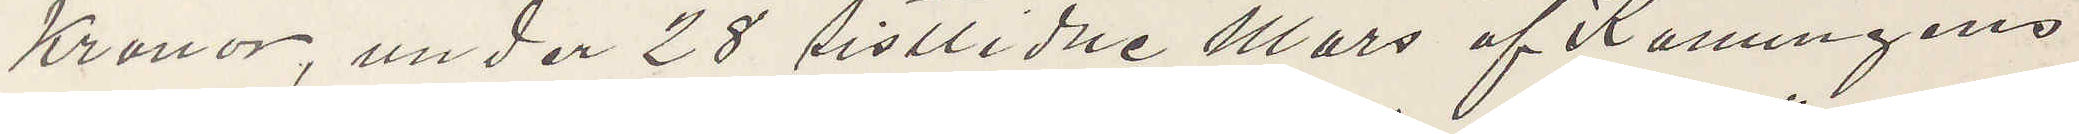Kronor under 28 sistlidne Mars af Konungens
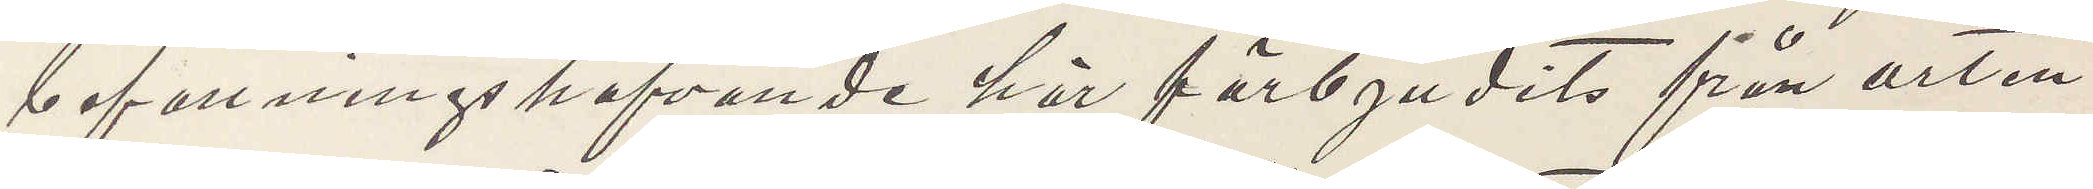befattningshafvande här förbjudits från orten
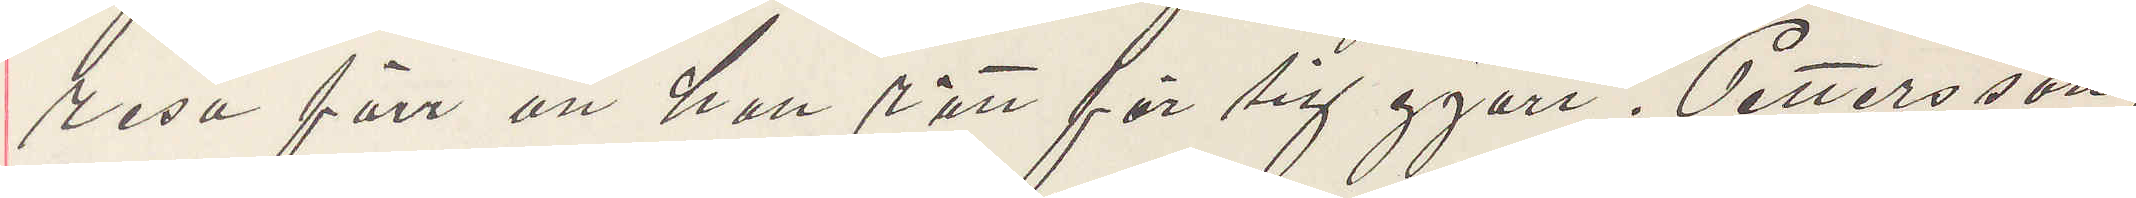resa förr att han rätt för sig gjort. Pettersson,
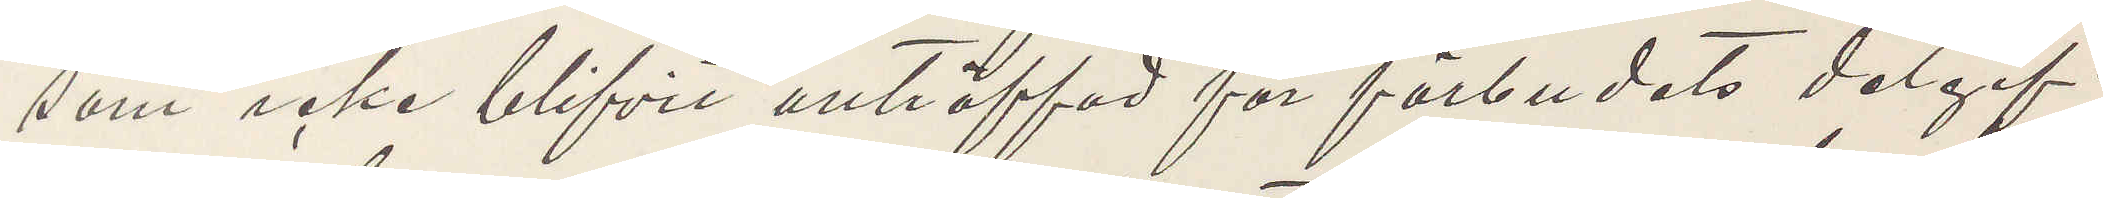som icke blifvit anträffad för förbudets delgif¬
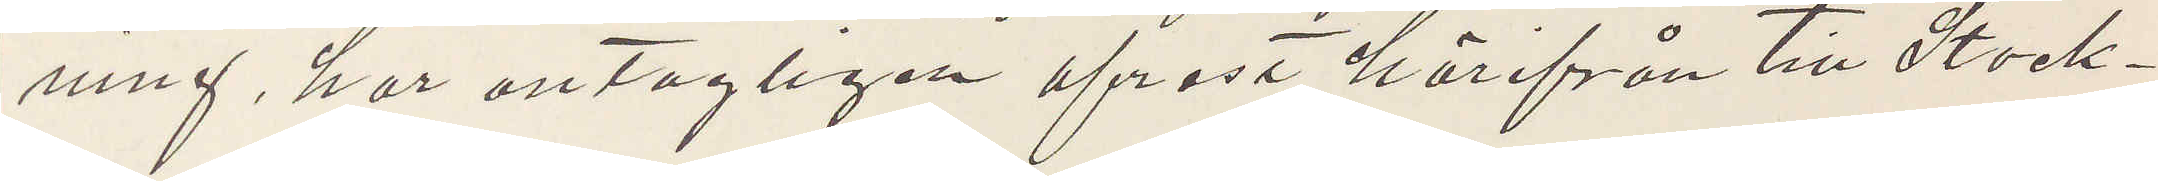ning, har antagligen afrest härifrån till Stock¬
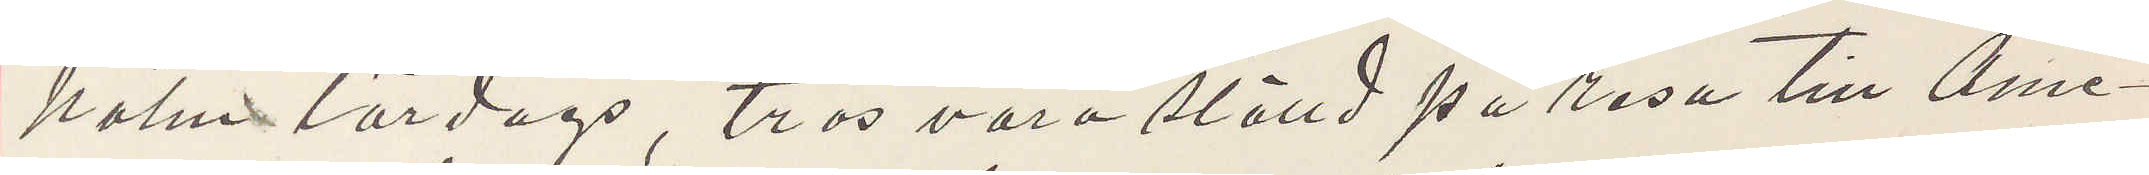holm lördag, tros vara ställd på resa till Ame¬
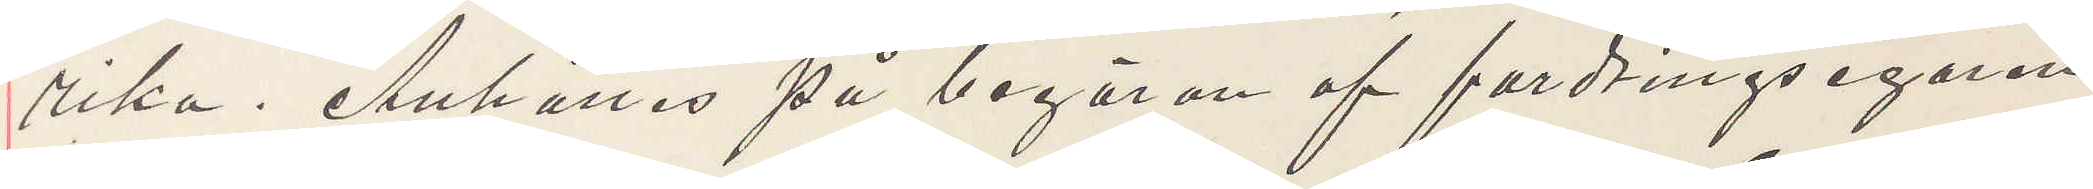rika. Anhålles på begäran af fordringsegaren
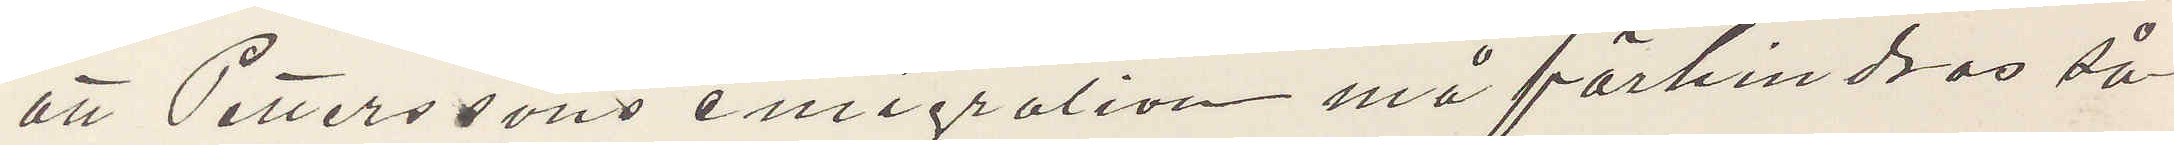att Petterssons emigration må förhindras så
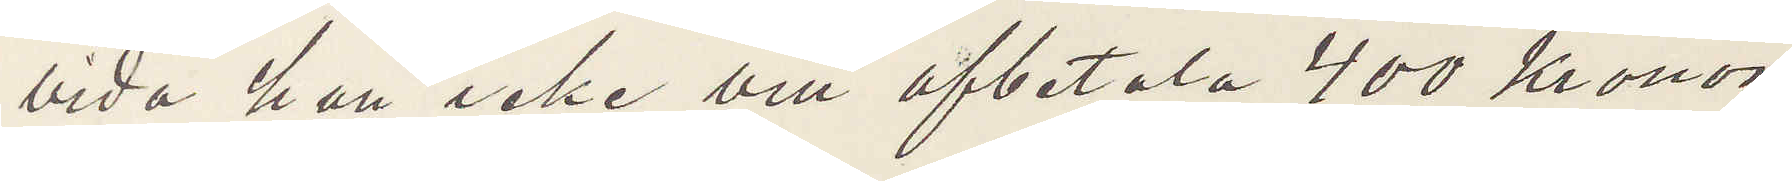vida han icke vill afbetala 400 Kronor
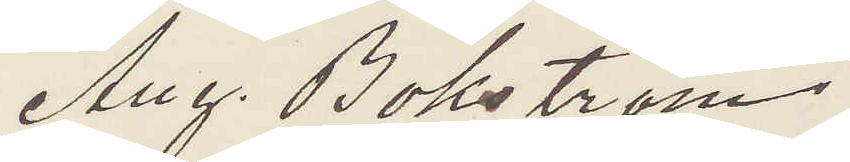Aug. Bokström
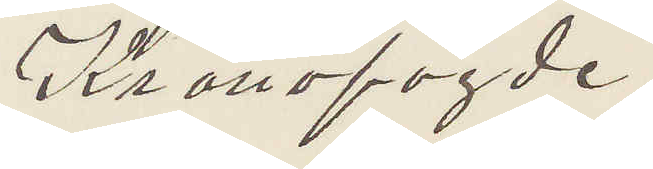Kronofogde
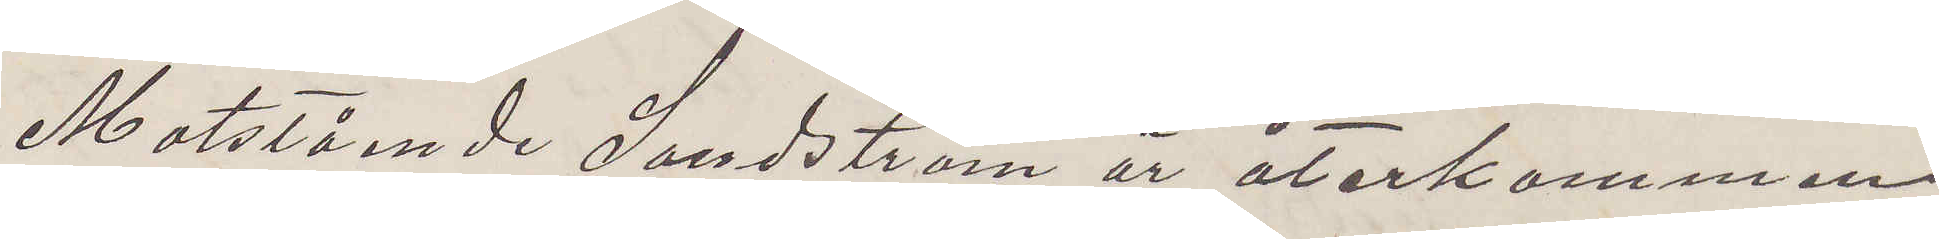Måtstående Sandström är återkommen
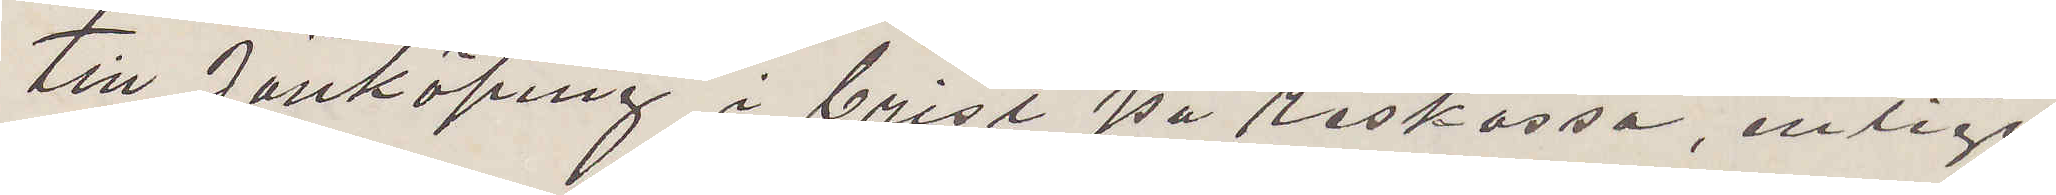till Jönköping i brist på reskassa, enligt
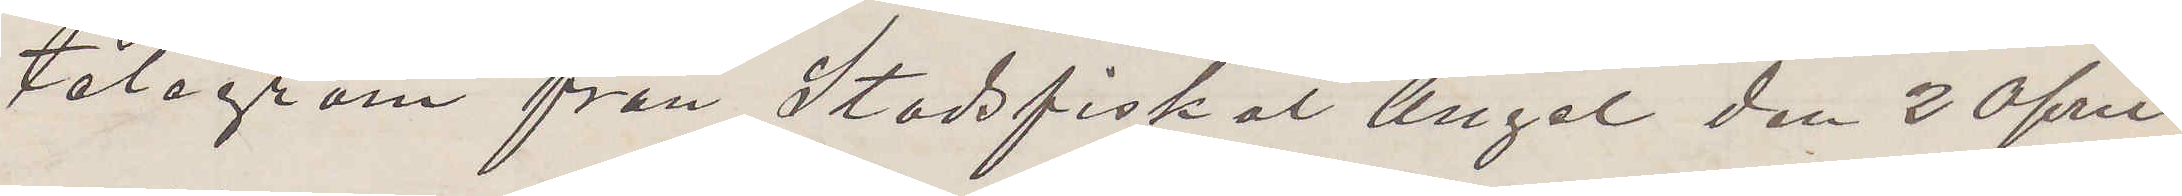telegram från Stadsfiskal Angel den 2 April
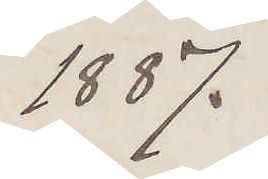1887.
